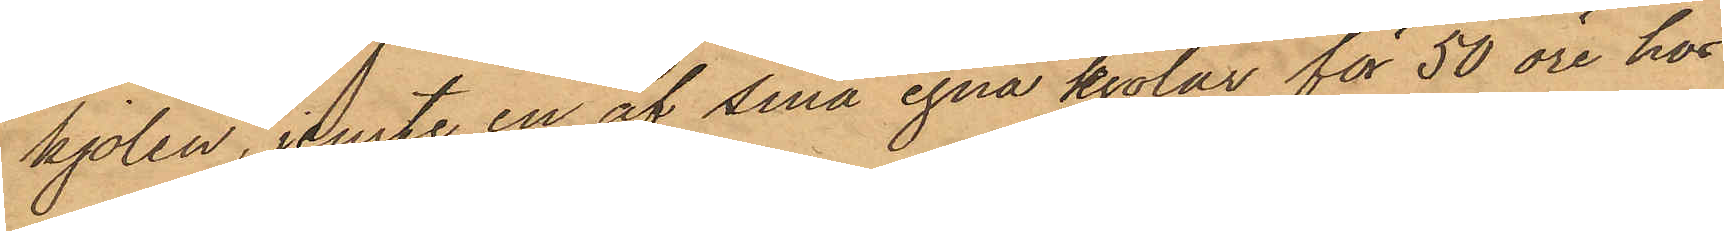kjolen, jemte en af sina egna kjolar för 50 öre hos
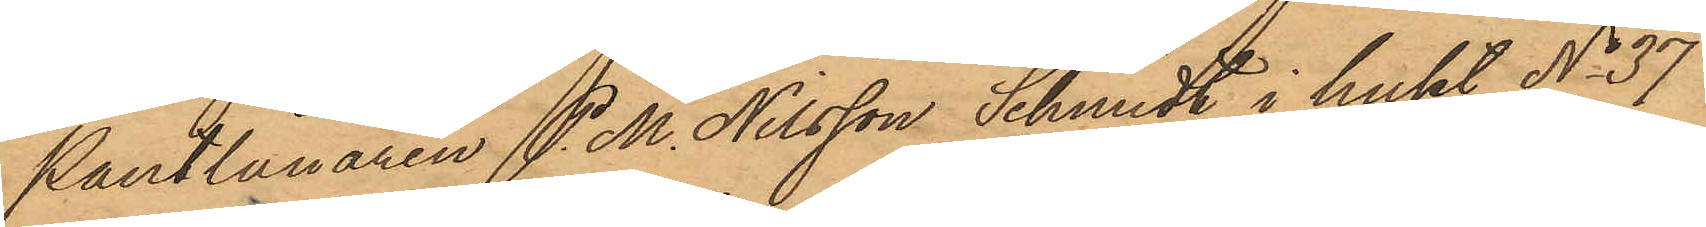Pantlånaren P. M. Nilsson Schmidt i huset No 37
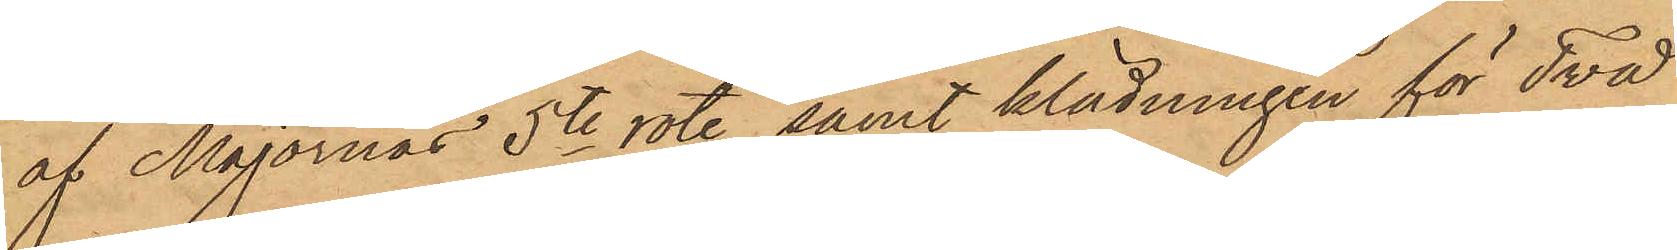af Majornas 5te rote samt klädningen för Två
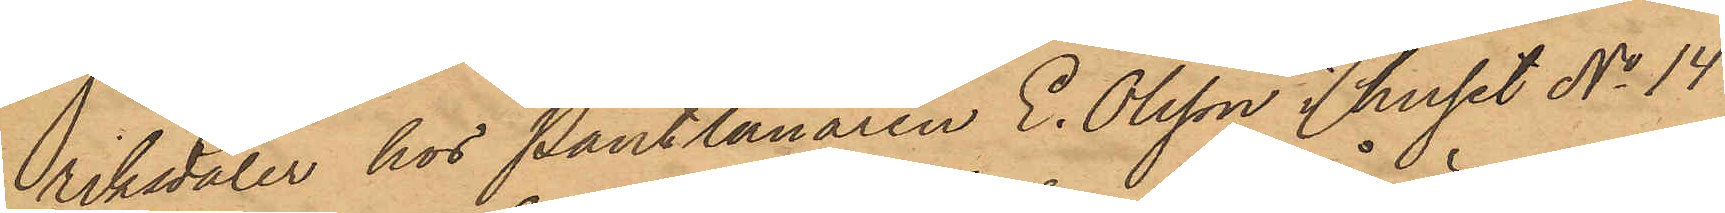riksdaler hos Pantlånaren E. Olsson i huset No 14
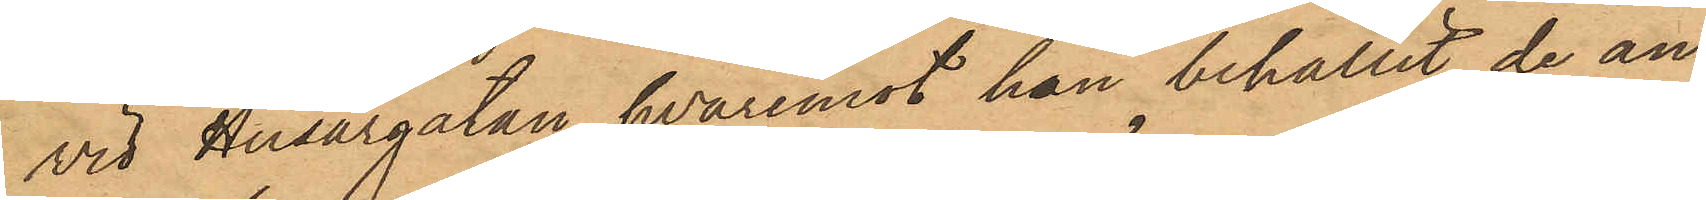vid Husargatan, hvaremot hon behållit de an¬
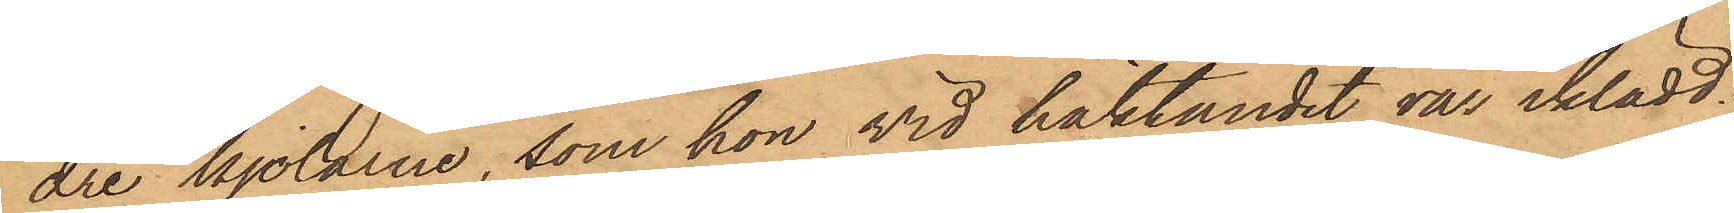dre kjolarne, som hon vid häktandet var iklädd.
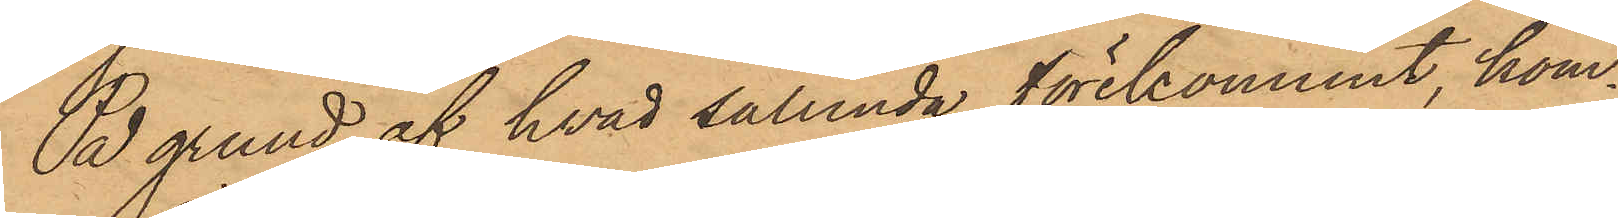På grund af hvad sålunda förekommit, kom¬
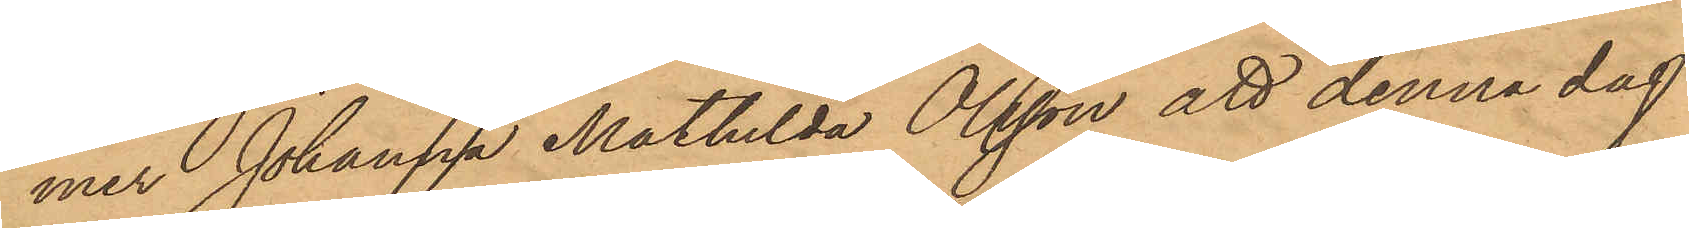mer Johanna Mathilda Olsson att denna dag
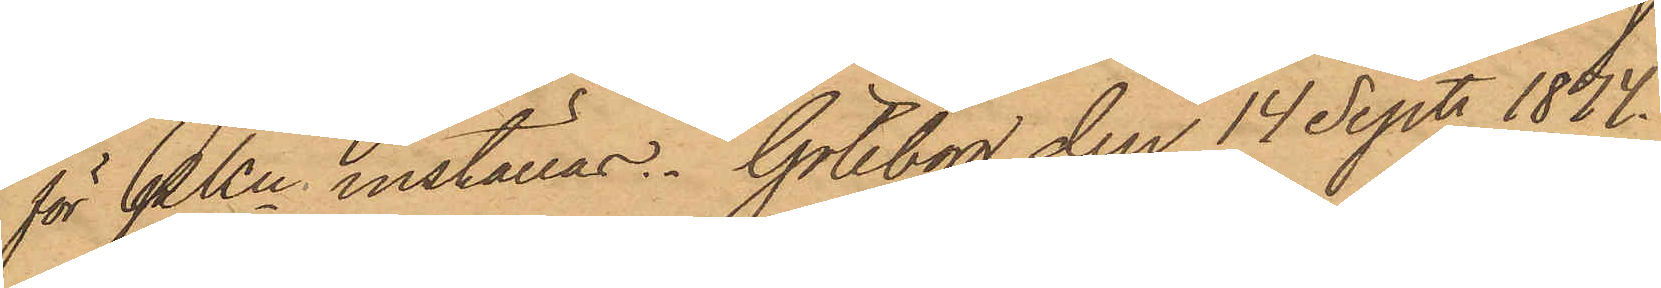för PKn inställas. Göteborg den 14 Sept. 1874.
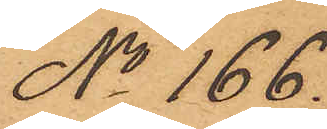No 166.
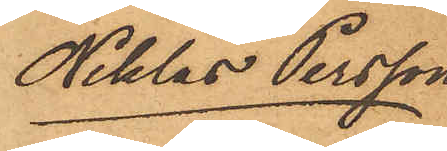Niklas Persson
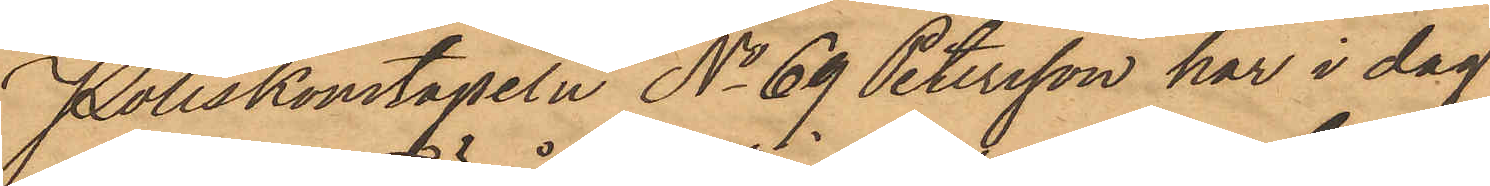Poliskonstapeln No 69 Petersson har i dag
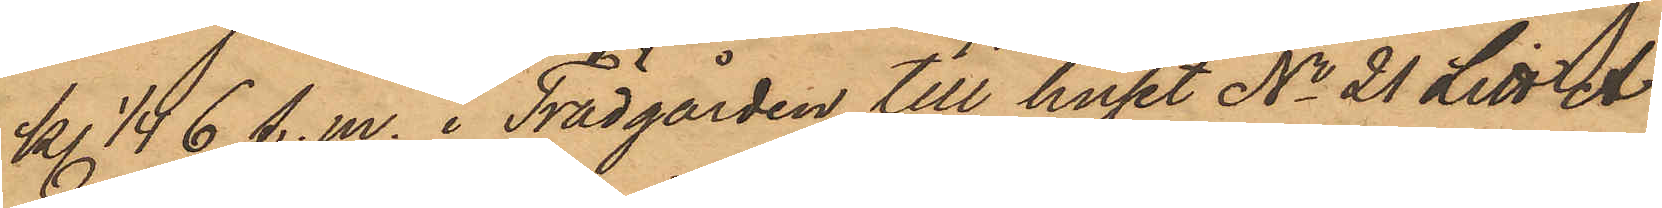kl. 1/4 i 6 f.m.  i Trädgården till huset No 21 Litt A
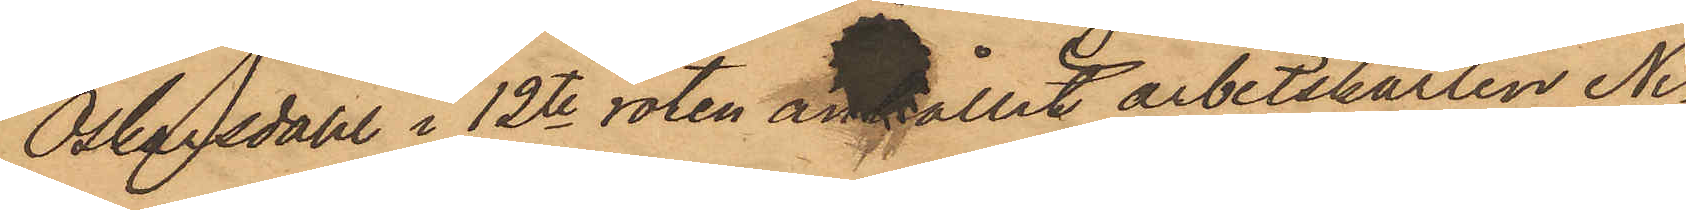Oskarsdal i 12te roten anhållit arbetskarlen Ni¬
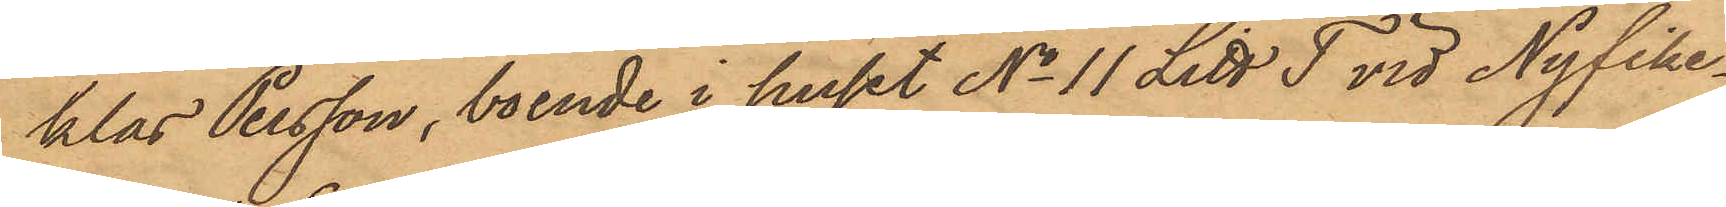klas Persson, boende i huset No 11 Litt T vid Nyfike¬
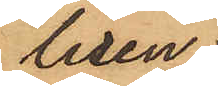liden,
